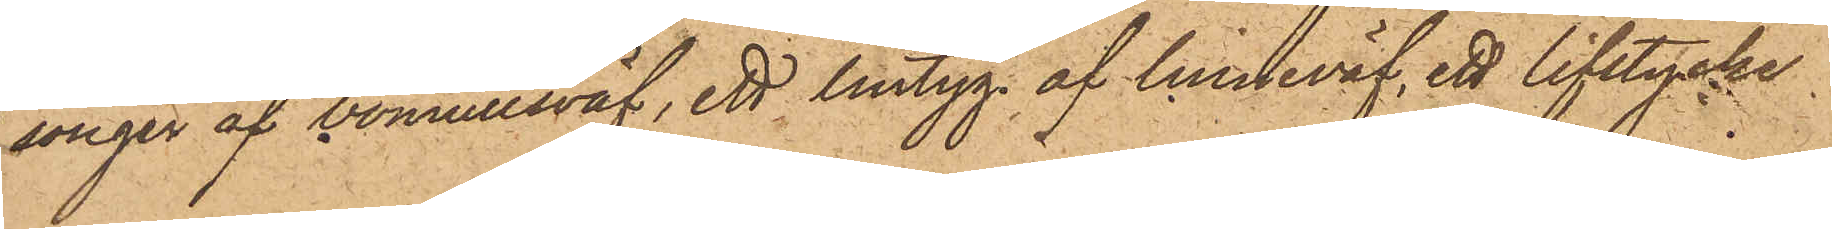songer af bomullsväf, ett lintyg af linneväf, ett lifstycke
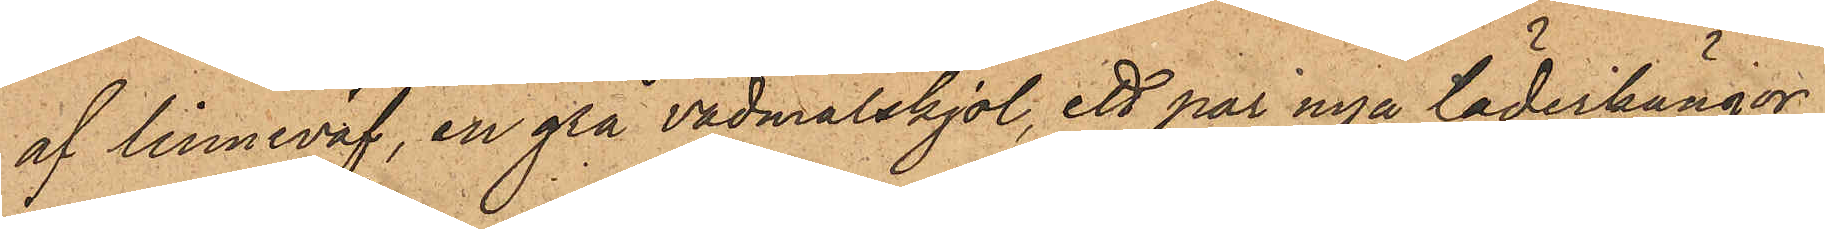af linneväf, en grå vadmalskjol, ett par nya läderkängor
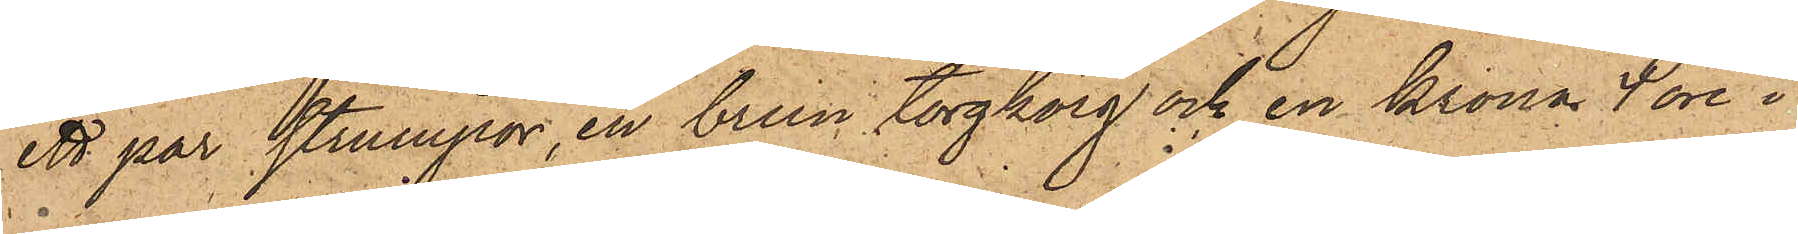ett par strumpor, en brun torgkorg och en krona 4 öre i
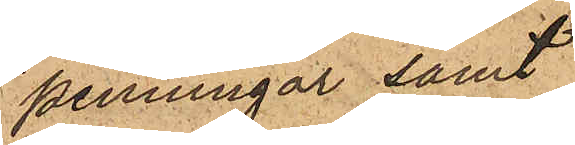penningar samt
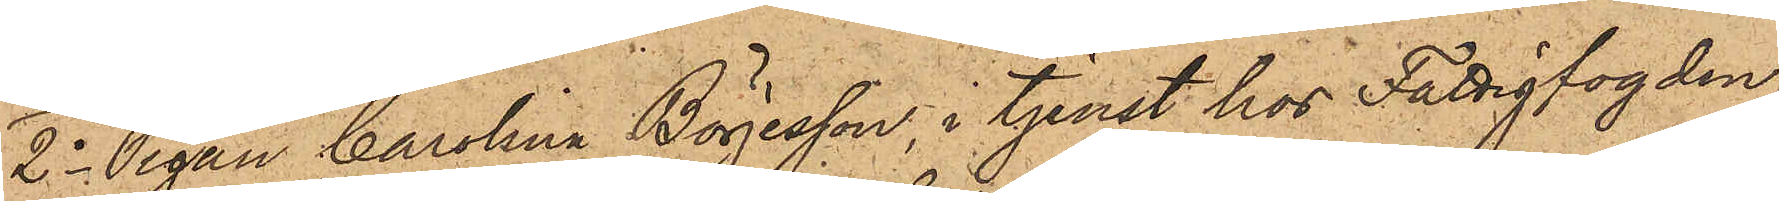2o Pigan Carolina Börjesson, i tjenst hos Fattigfogden
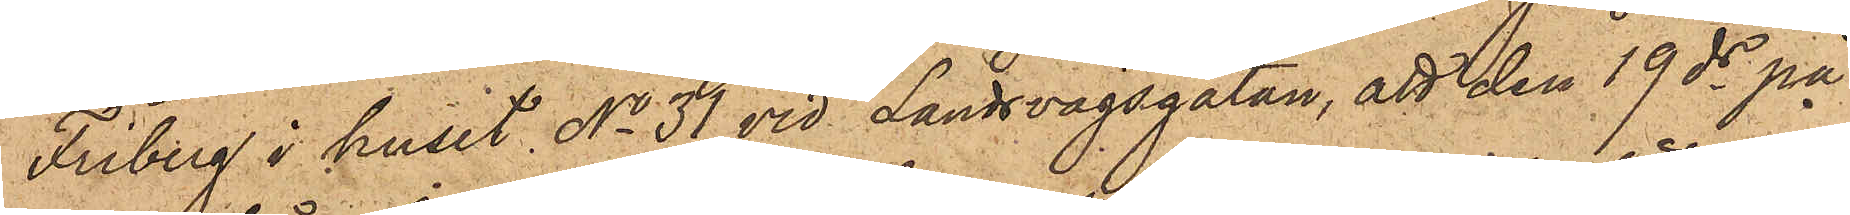Friberg i huset No 31 vid Landsvägsgatan, att den 19 ds på
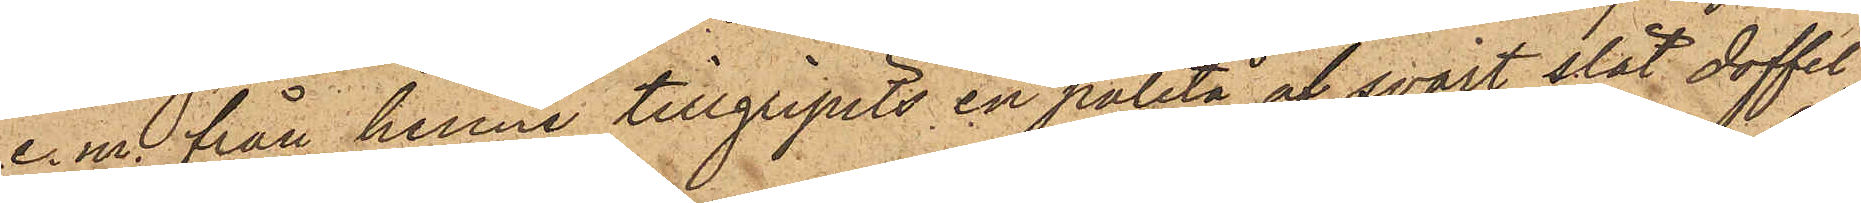e. m. från henne tillgripits en paletå af svart slät doffel,
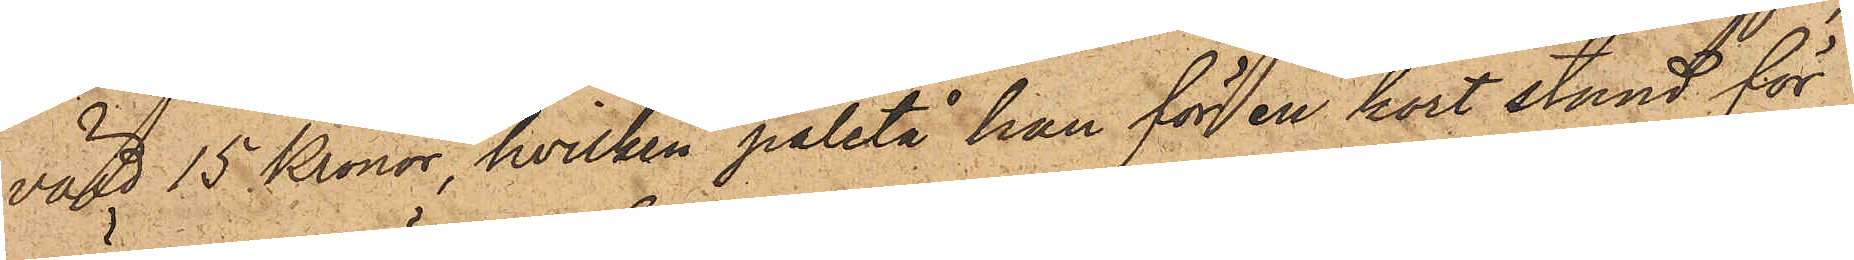värd 15 Kronor, hvilken paletå han för en kort stund för
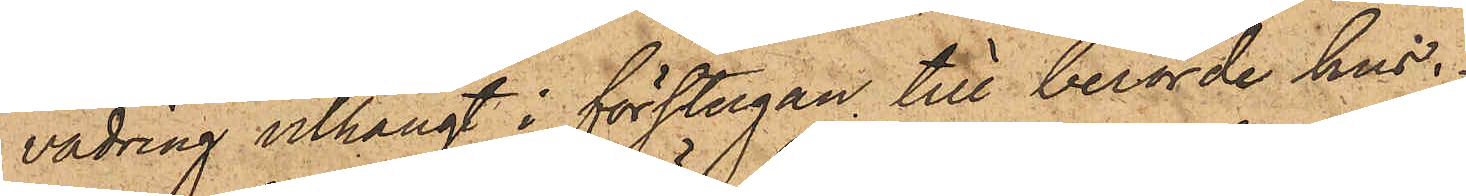vädring uthängt i förstugan till berörde hus.
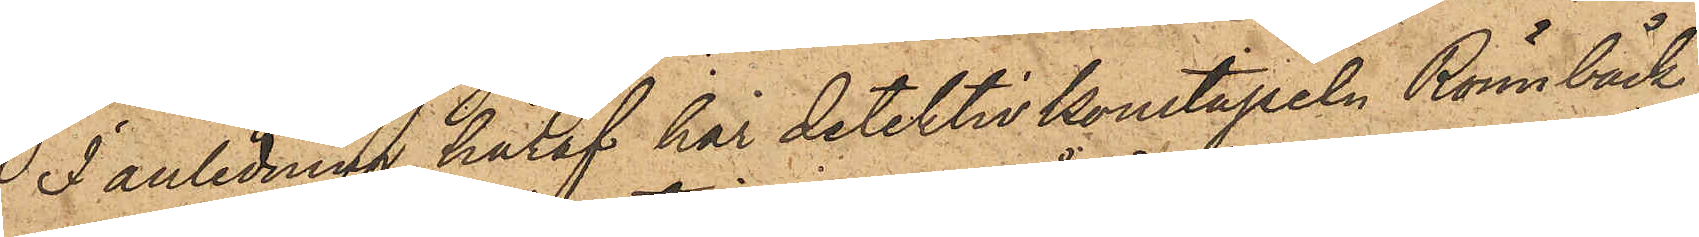I anledning häraf har detektivkonstapeln Rönnbäck
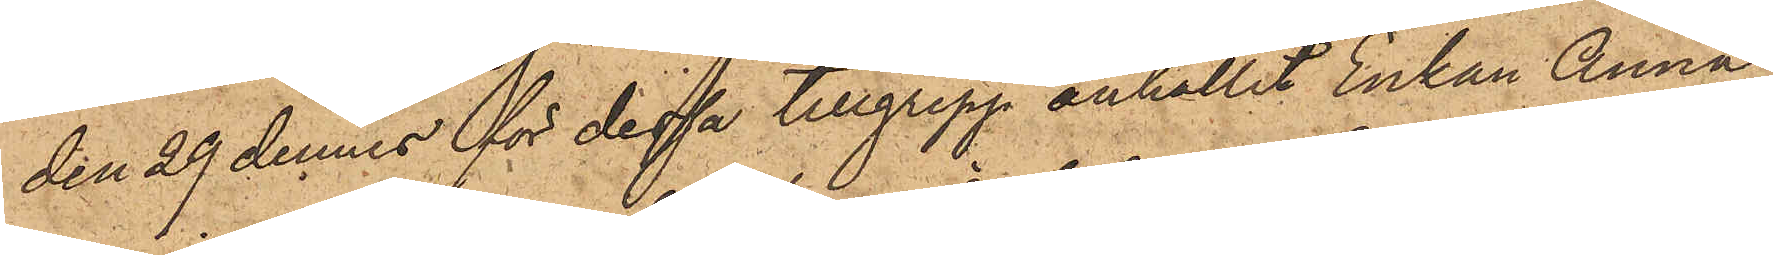den 29 dennes för dessa tillgrepp anhållit Enkan Anna
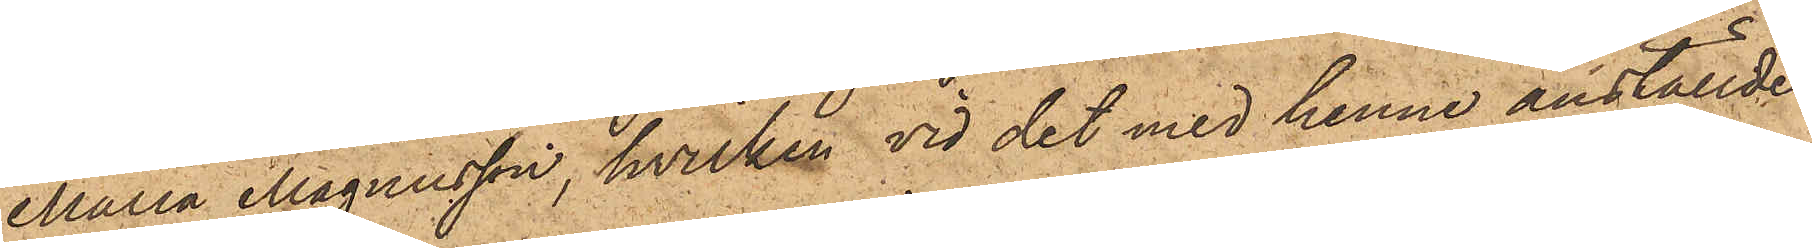Maria Magnusson, hvilken vid det med henne anställde
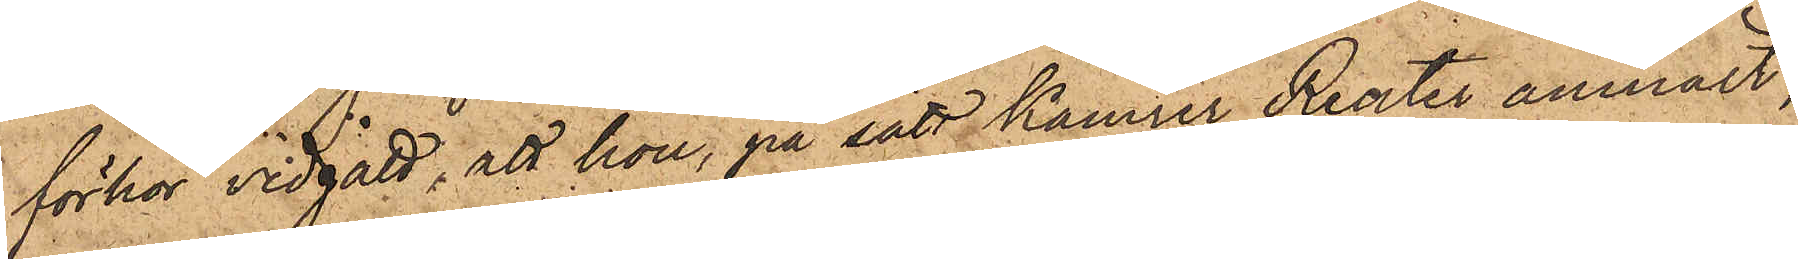förhör vidgått; att hon, på sätt kamrer Reuter anmält,
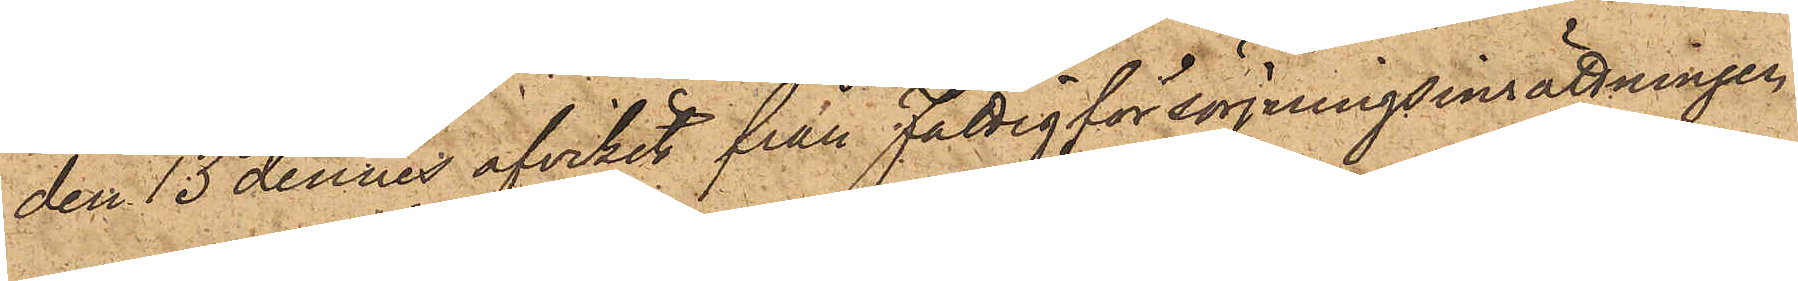den 13 dennes afvikit från Fattigförsörjningsinrättningen
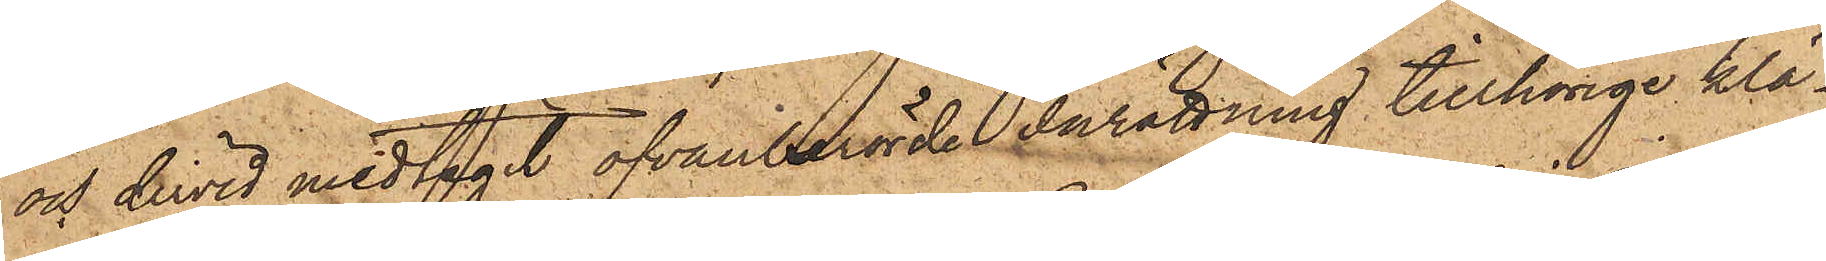och dervid medtagit ofvanberörde Inrättning tillhörige klä¬
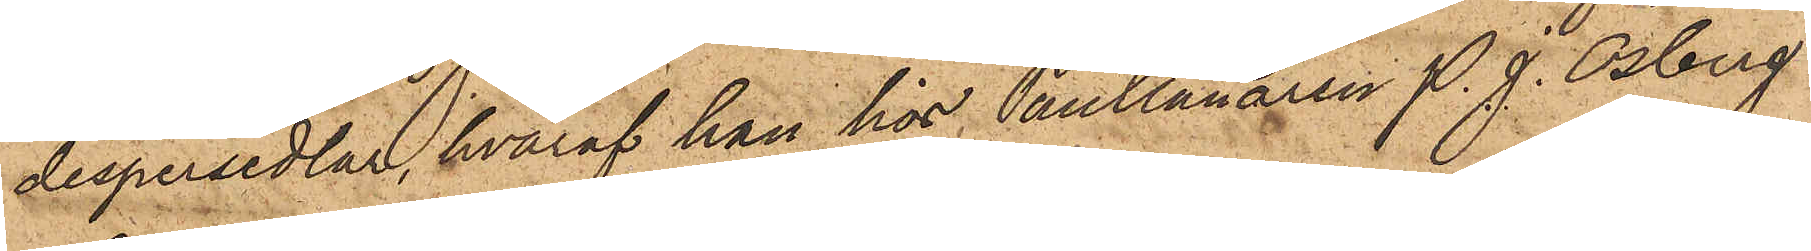despersedlar, hvaraf hon hos Pantlånaren P. J. Osberg
